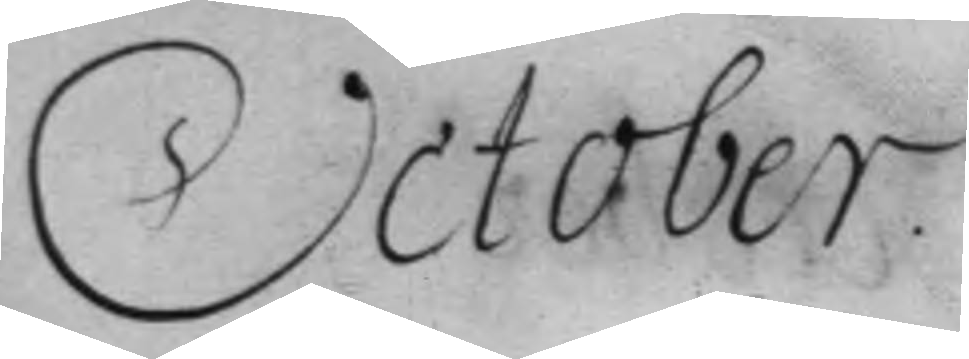October.
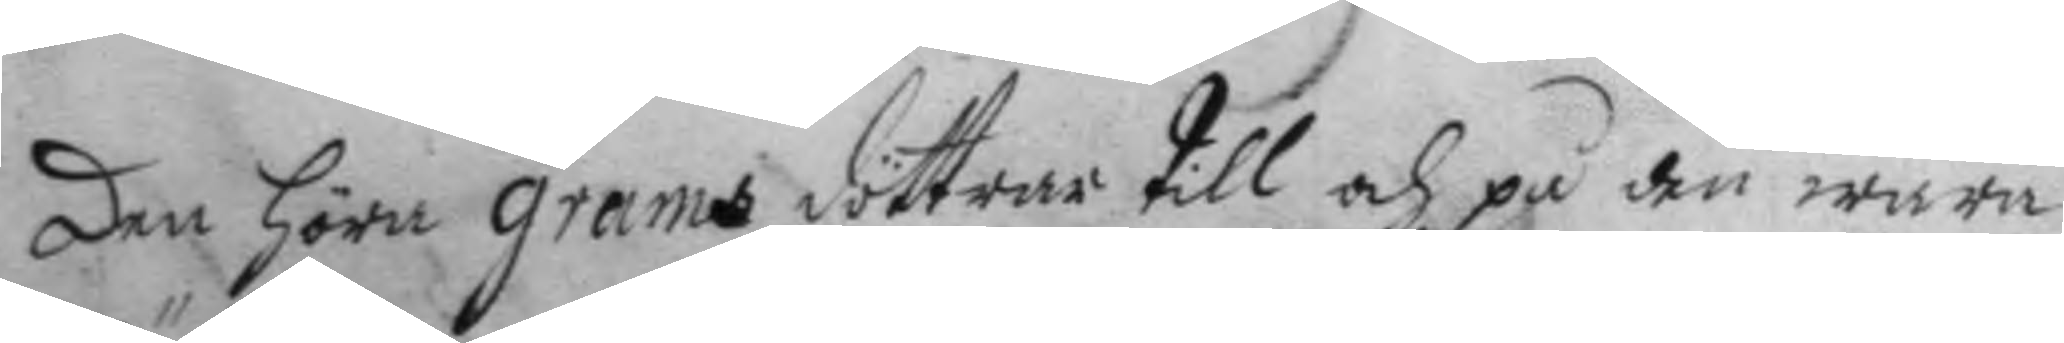den höra Grams döttrar till och på den wara
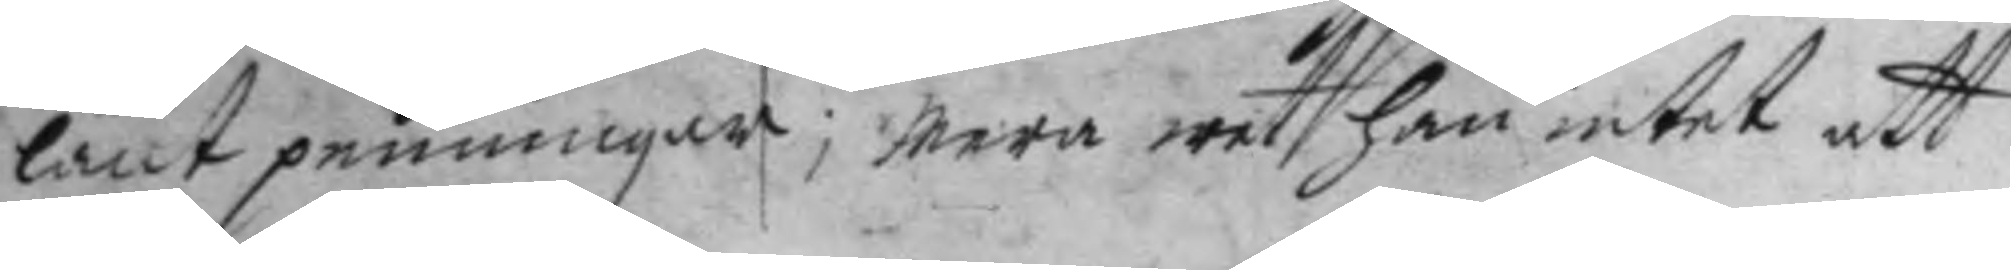länt penningar; Mera weth han intet att
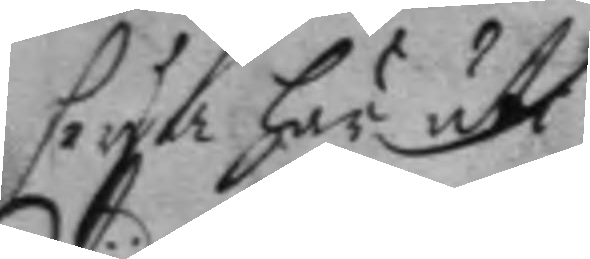seya här uti
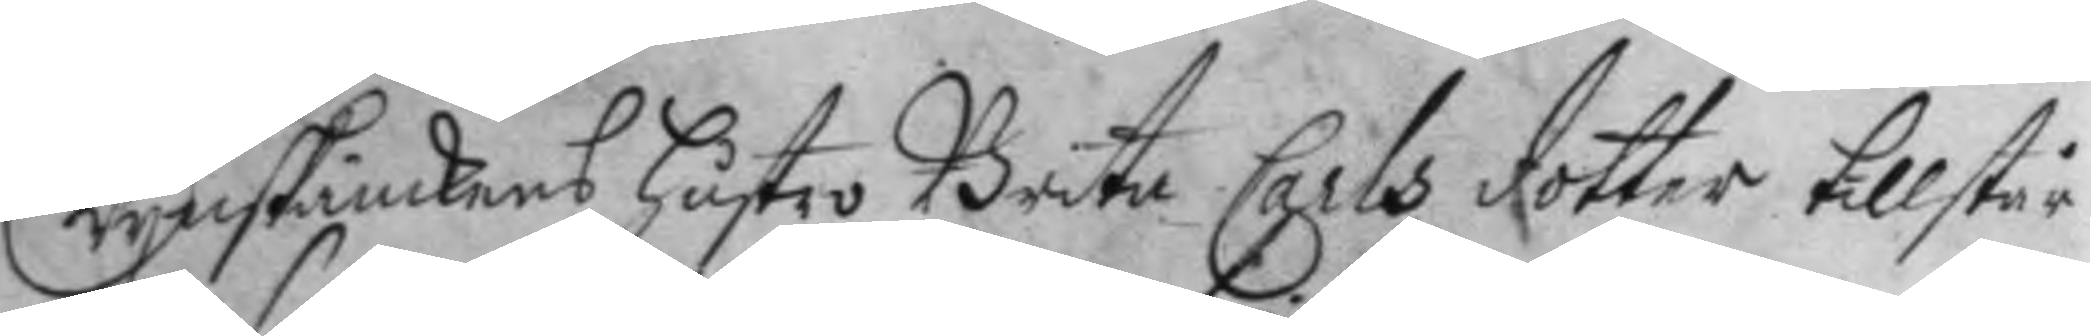Wynskänkens hustro Brita Carls dotter tillstår
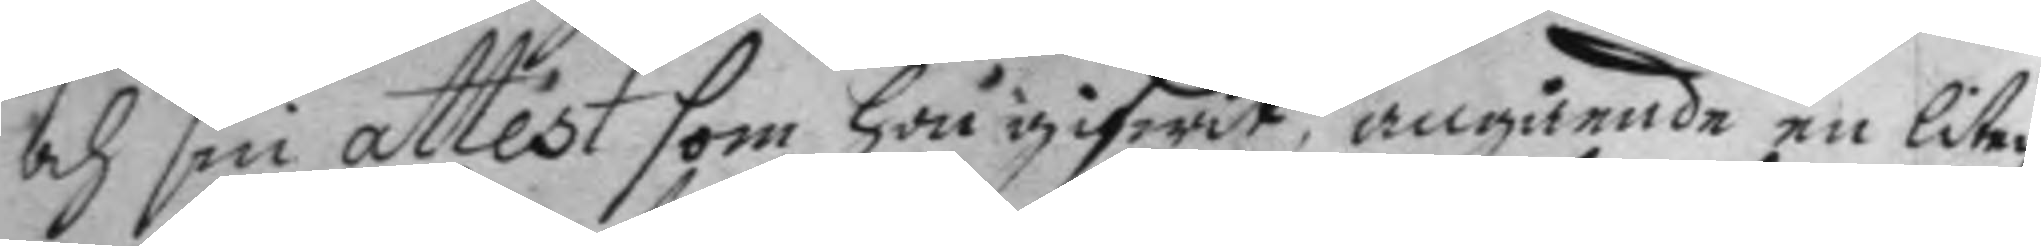och sin attest som hon gifwit, angående en liten
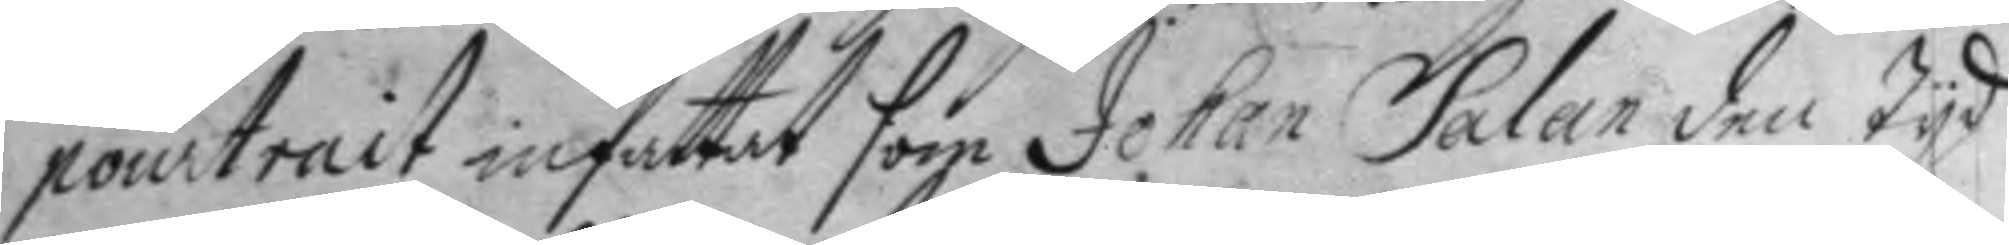pourtrait infattat som Johan Salan den tyd
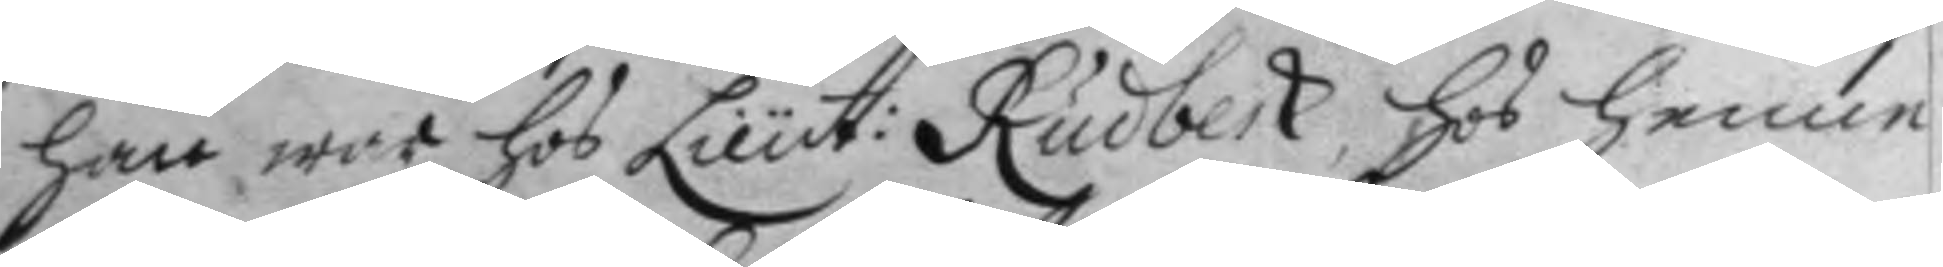han war hos Lieut: Rudbeck, hos henne
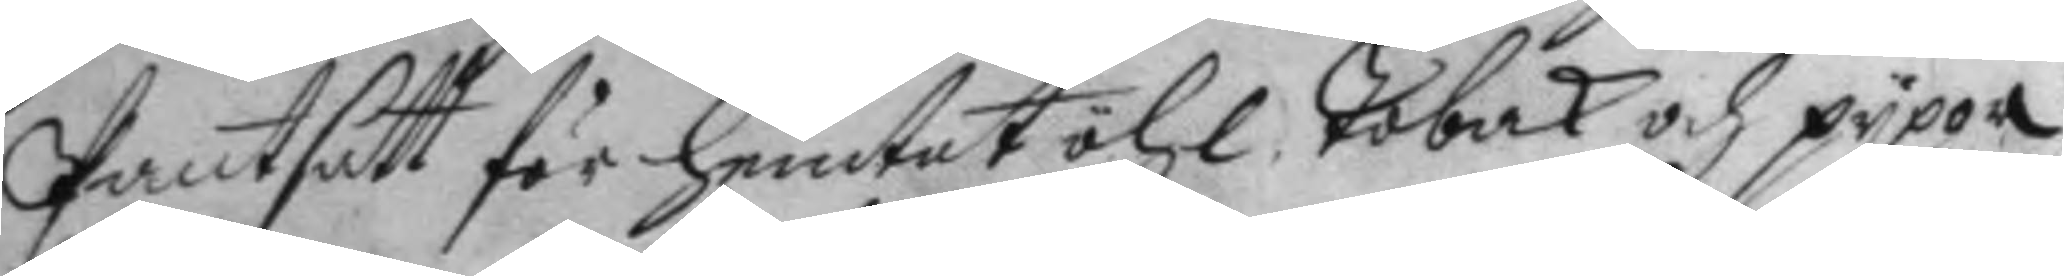Pantsatt för hemtet öhl, Tobak och pypor
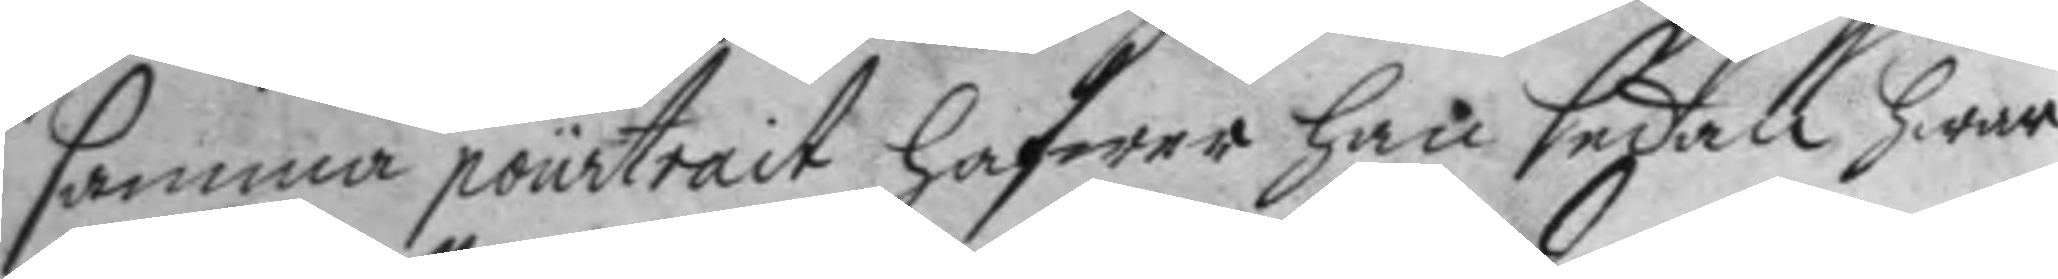samma pourtrait hafwer han sedan hwar
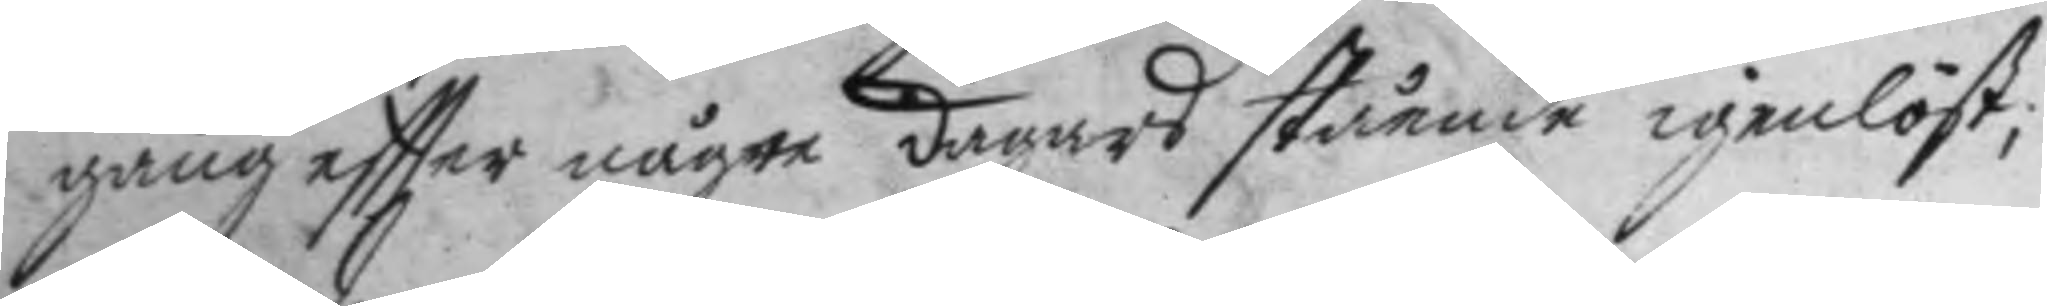gång eftter någre dagars stående igenlöst;
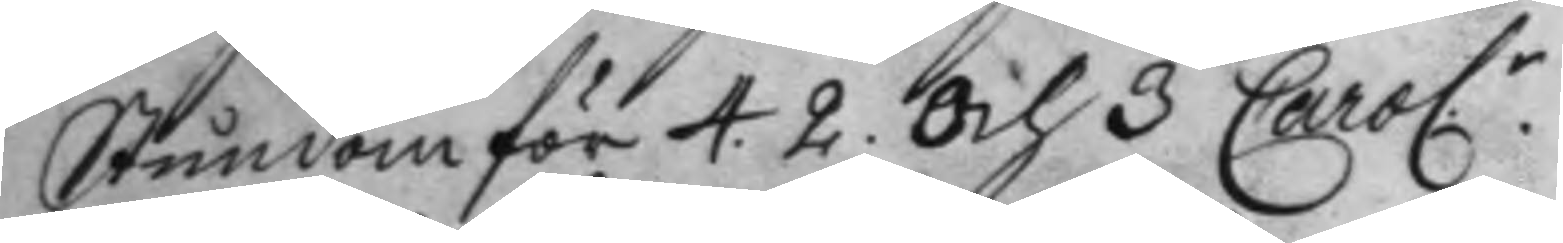Stundom för 4. 2. och 3 Carol:r 
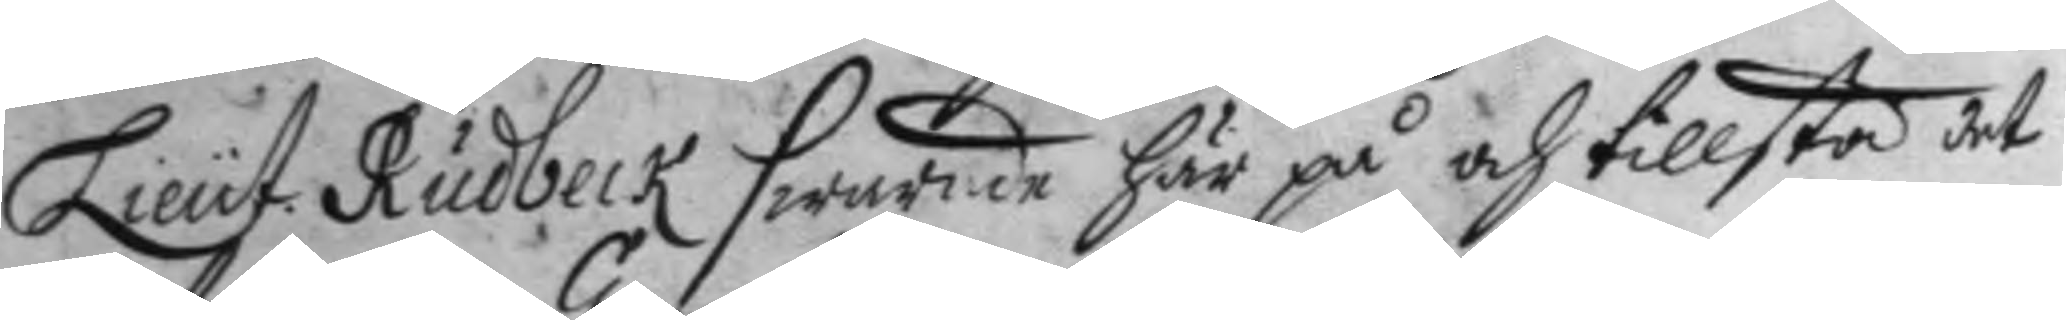Lieut. Rudbeck swarde här på och tillstå det
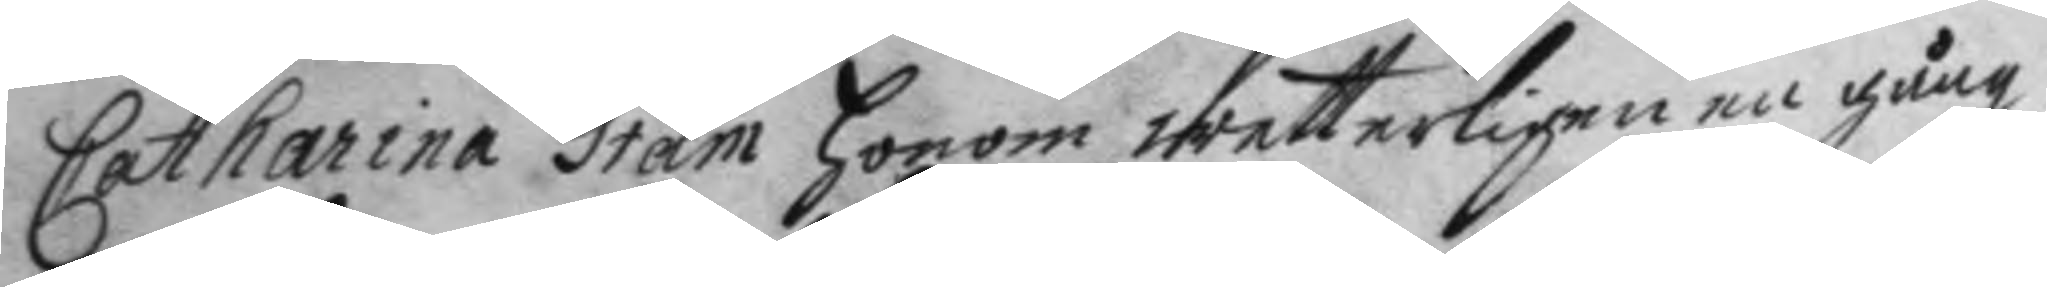Catharina Gram honom wetterligen en gång
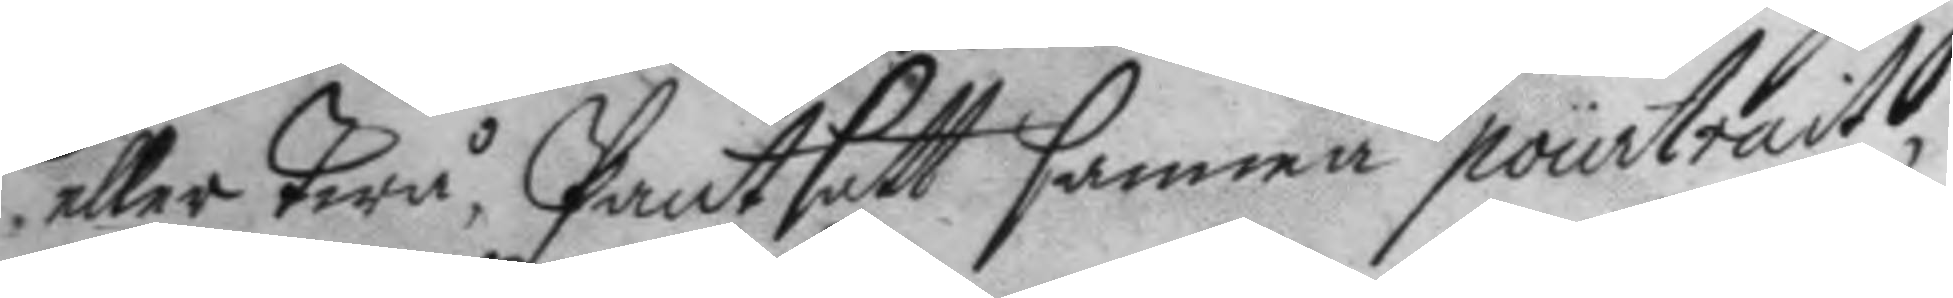eller Twå, Pantsatt samma pourtrait
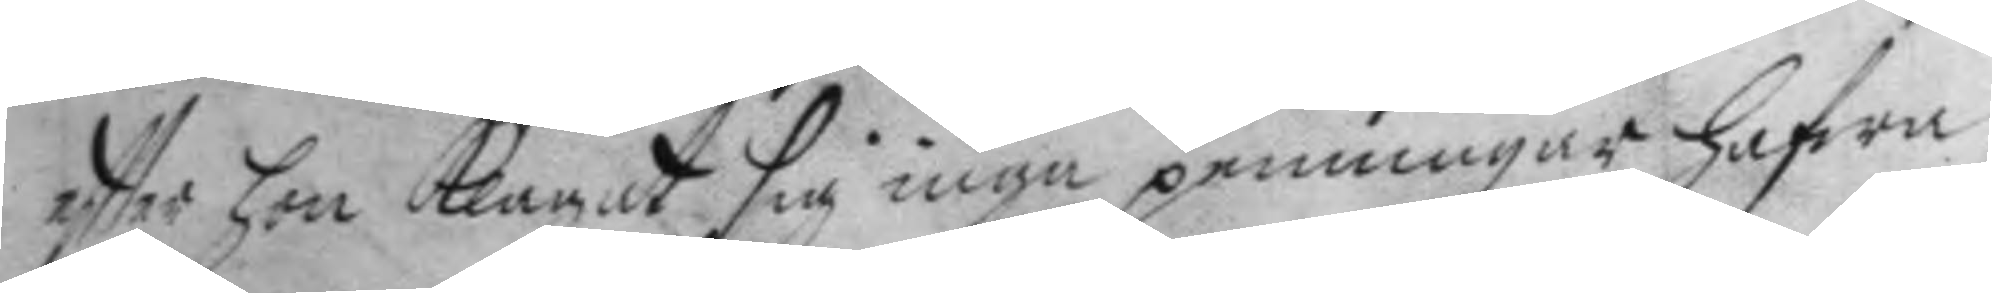effter hon klagat sig inga penningar hafwa;
